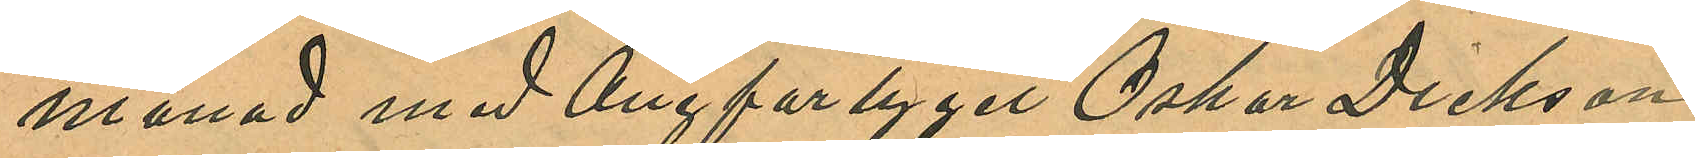månad med Ångfartyget "Oskar Dickson"
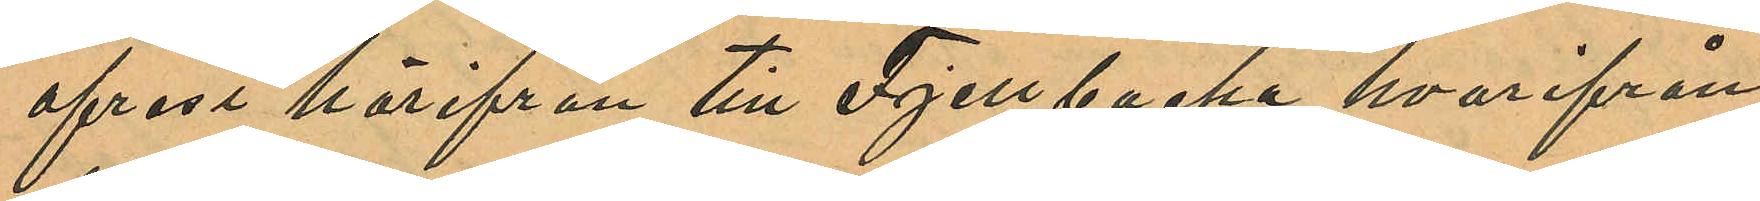afrest härifrån till Fjellbacka hvarifrån
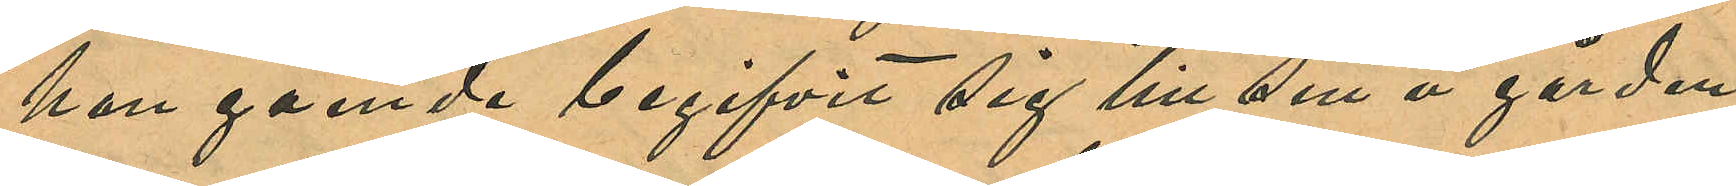hon gående begifvit sig till sin å gården
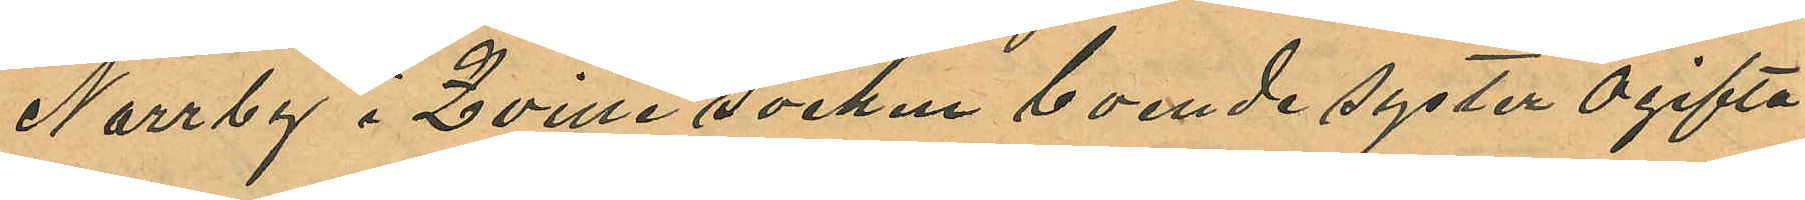Norrby i Qville socken boende syster ogifta
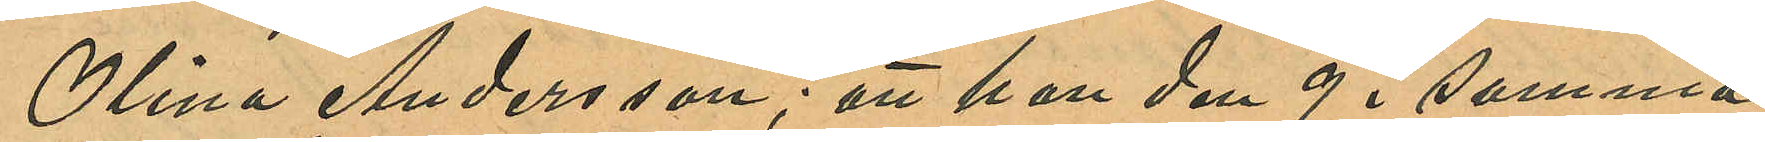Olina Andersson; att hon den 9 i samma
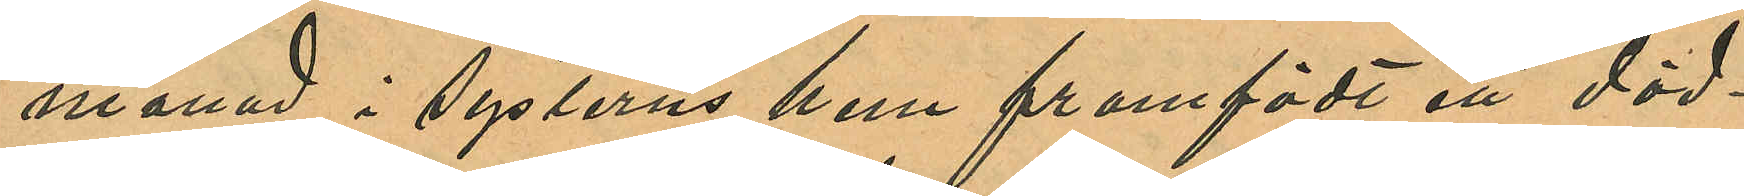månad i systerns hem framfödt ett död¬
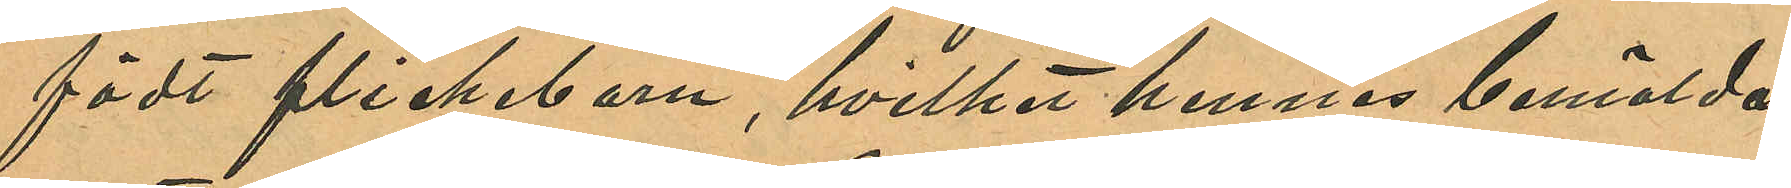födt flickebarn, hvilket hennes bemälda
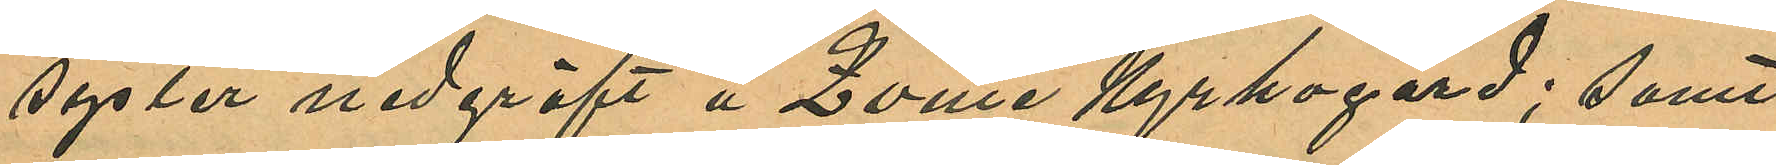syster nedgräft å Qville Kyrkogård; samt
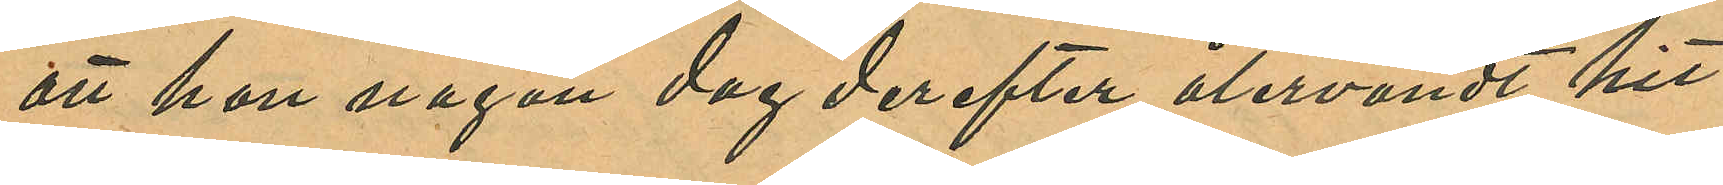att hon någon dag derefter återvändt hit
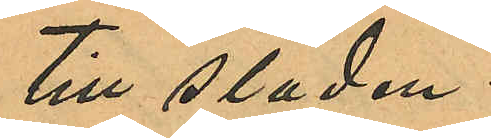till staden.
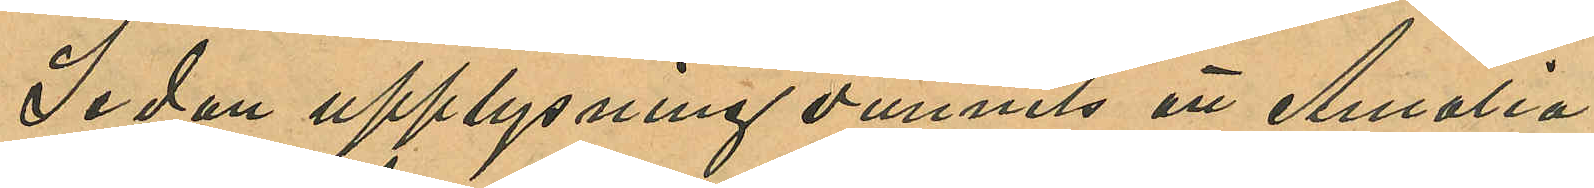Sedan upplysning vunnits att Amalia
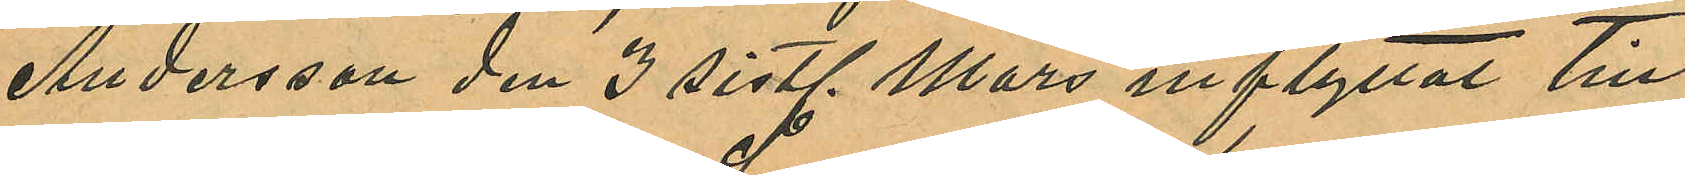Andersson den 3 sistl. Mars inflyttat till
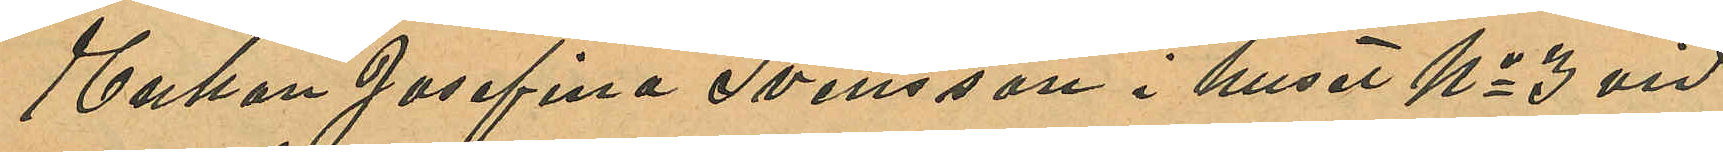Enkan Josefina Svensson i huset No 3 vid
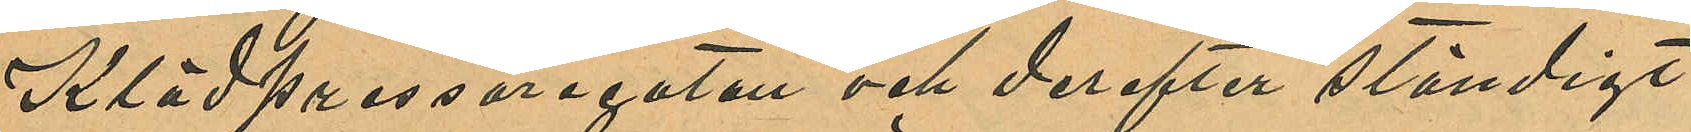Klädpressaregatan och derefter ständigt
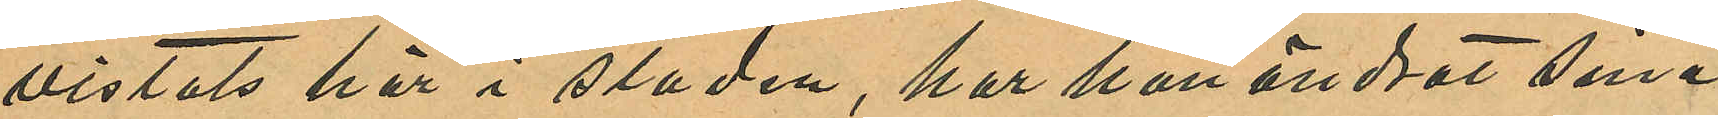vistats här i staden, har hon ändrat sina
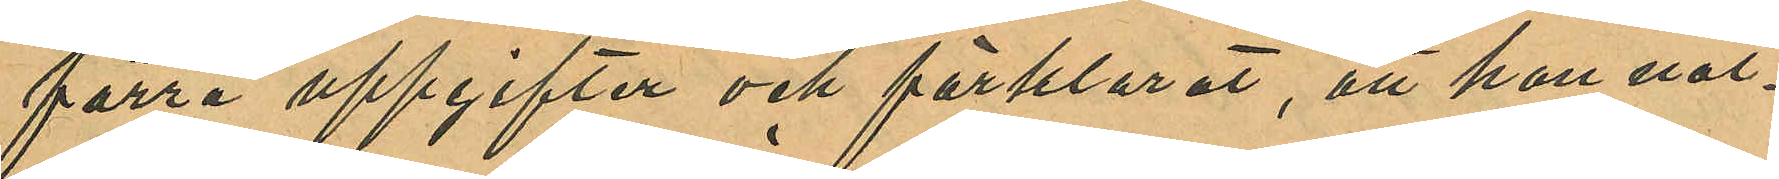förra uppgifter och förklarat, att hon nat¬
